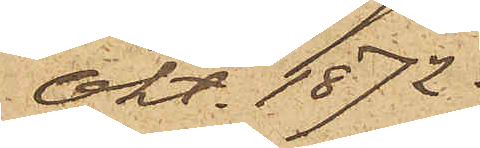Okt. 1872.
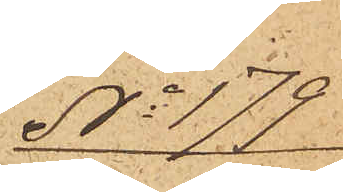No 179
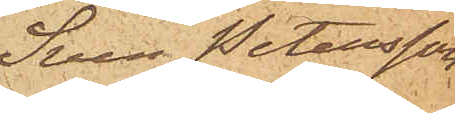Sven Petersson
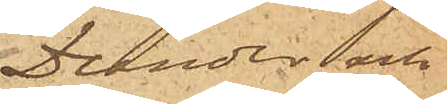Dunder och
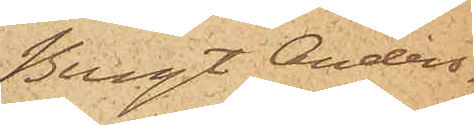Bengt Anders¬
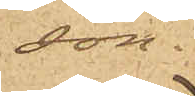son.
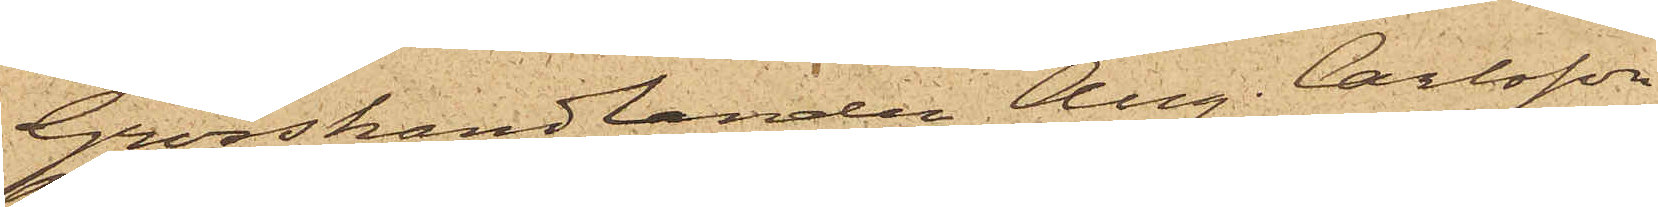Grosshandlanden Aug. Carlsson
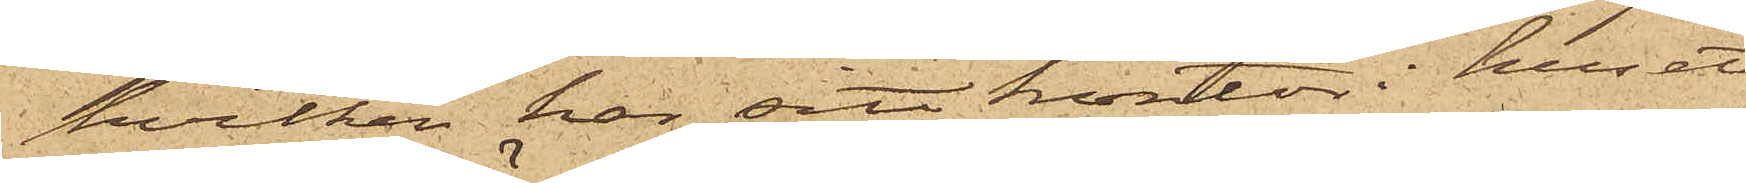hvilken har sitt kontor i huset
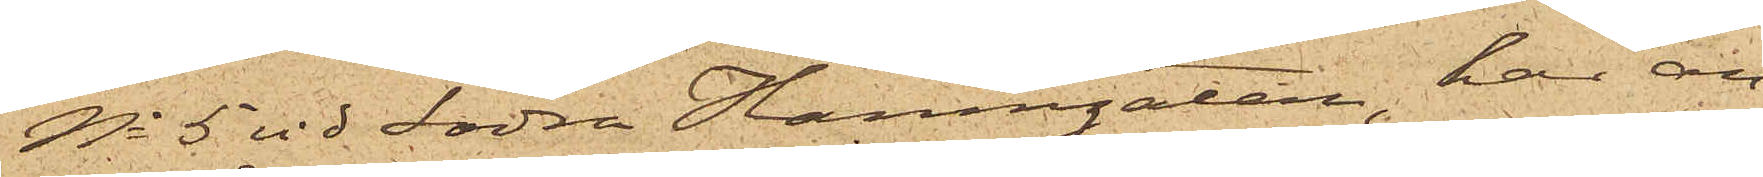No 5 vid Södra Hamngatan, har an¬
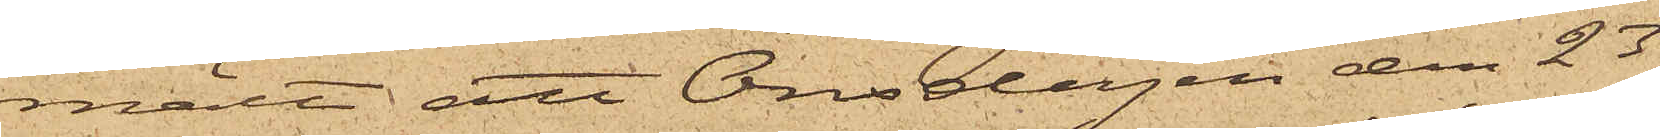mält att Onsdagen den 23
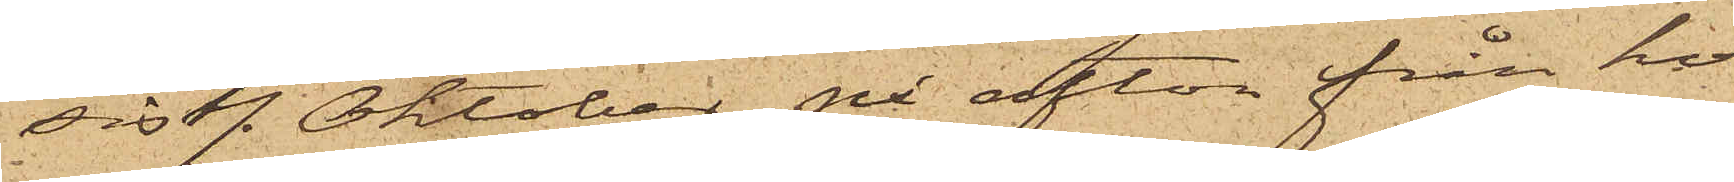sistl. Oktober på afton från ho¬
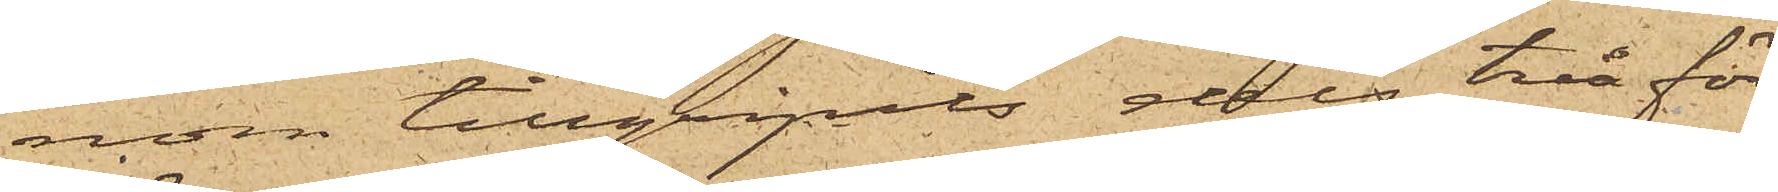nom tillgripits dels två för¬
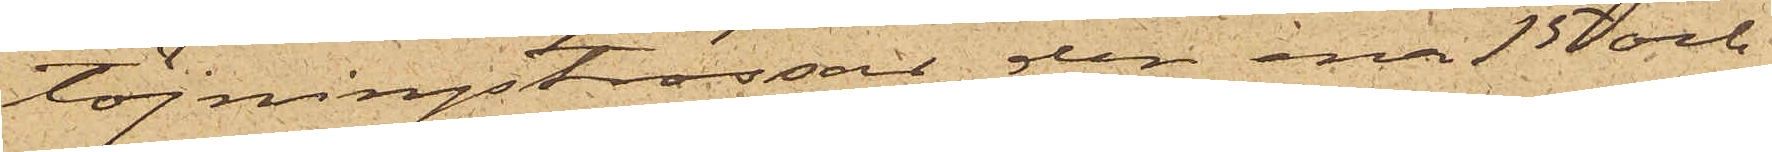töjningstrossar, den ena 15 och
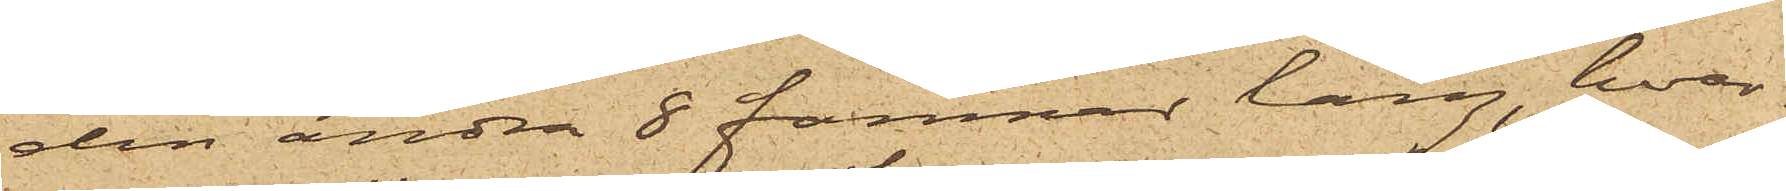den andra 8 famnar lång, hvar¬
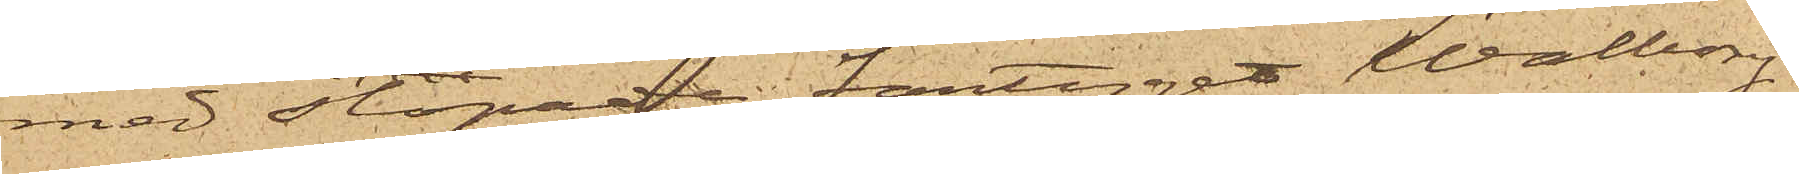med slopade fartyget Walborg
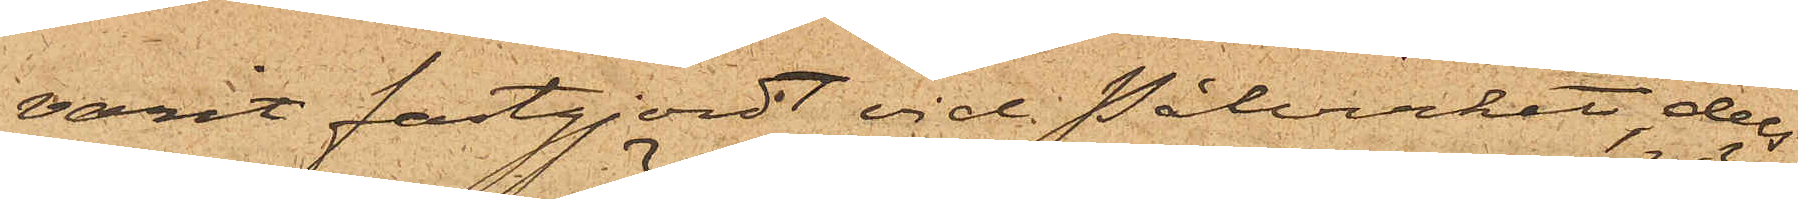varit fastgjordt vid Pålverket, dels
